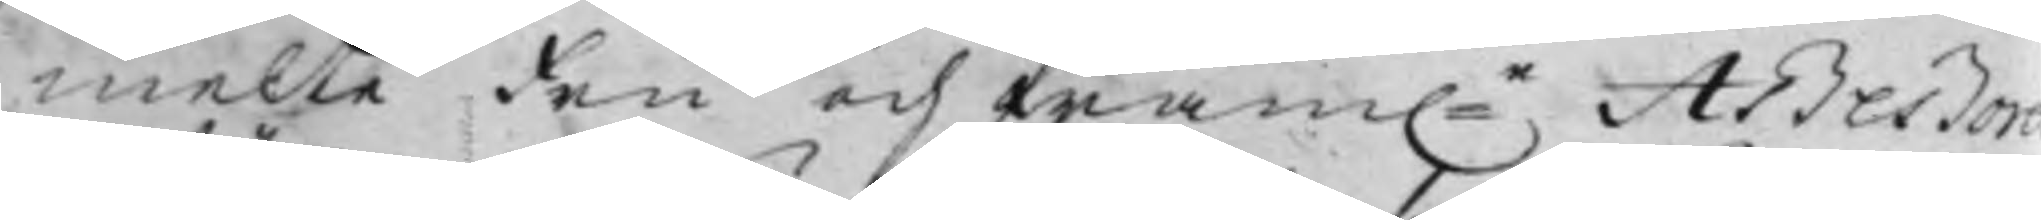melte Fru och fram:e Aßeßore
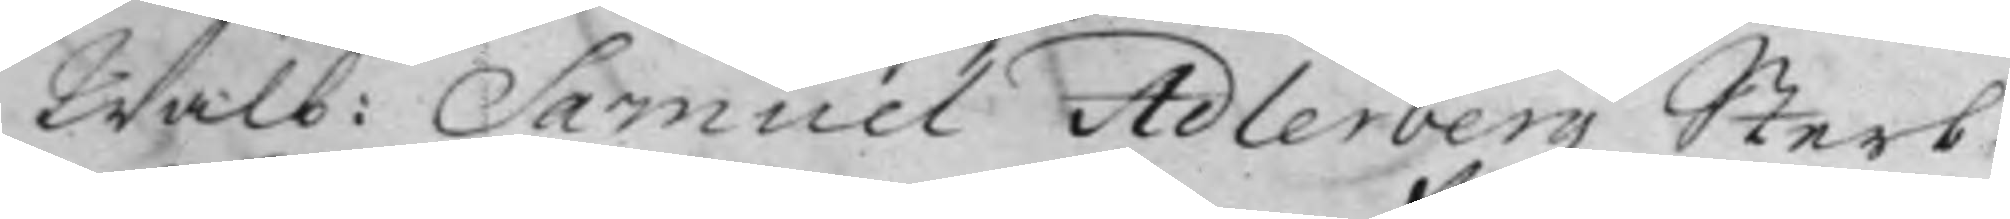Wälb: Samuel Adlerbergz Sterb¬
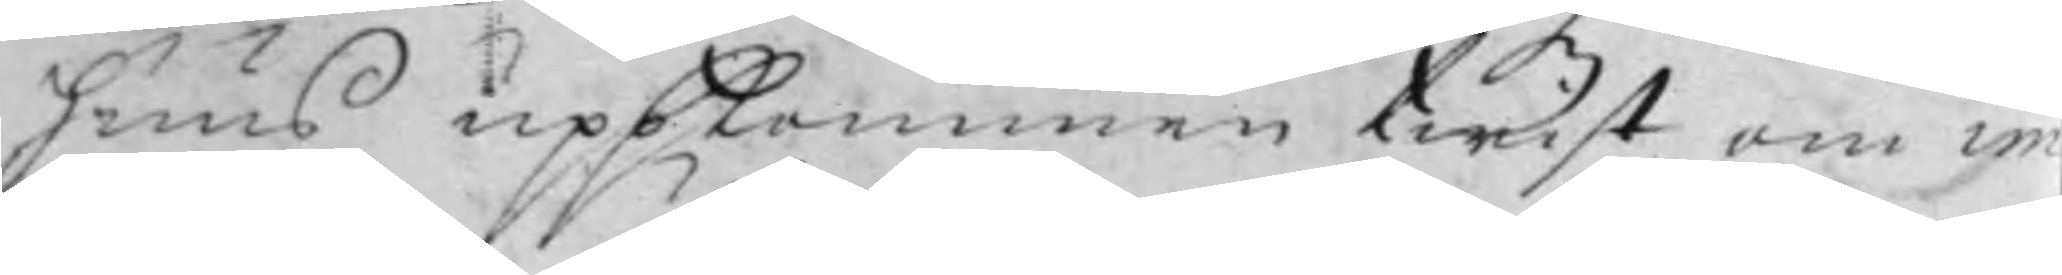huus uppkommen twist om im¬
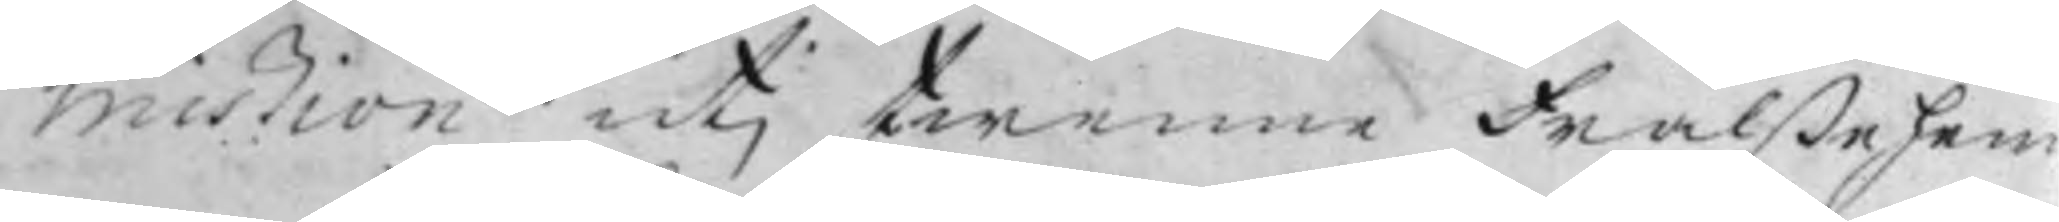mißion utj twenne Frälßehem¬
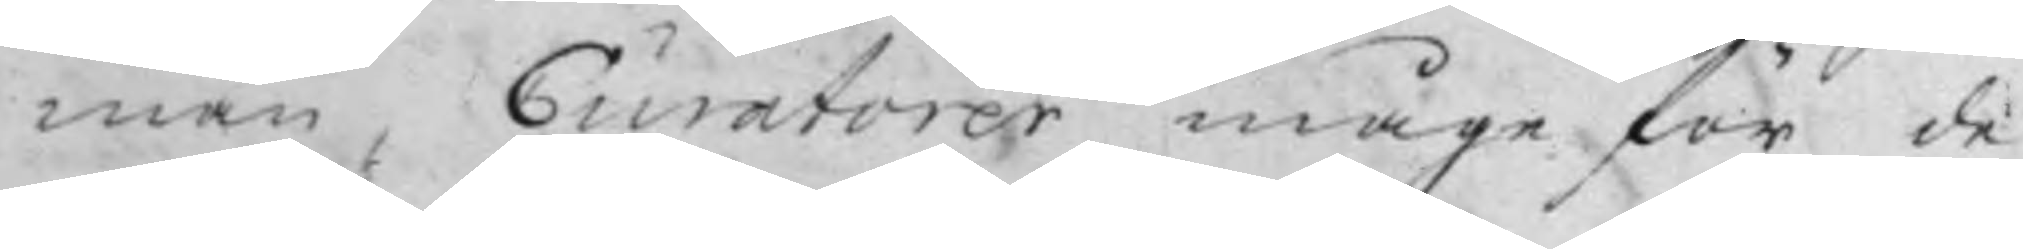man, Curatorer måge för de
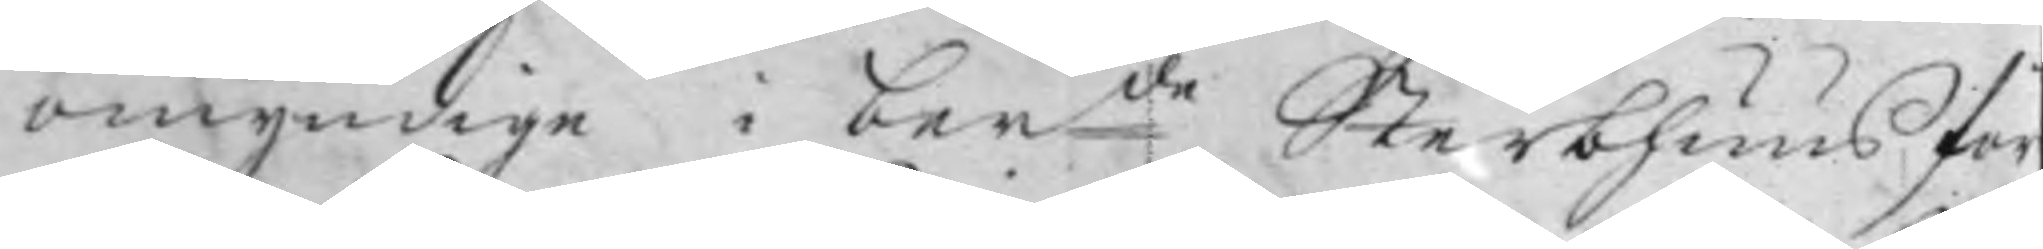omyndige i ber:de Sterbhuus för¬
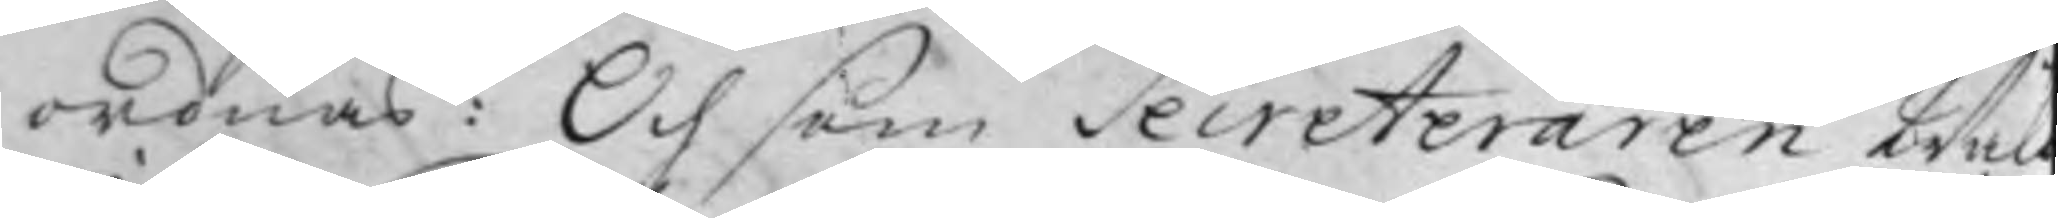ordnas: Och som Secreteraren Wel
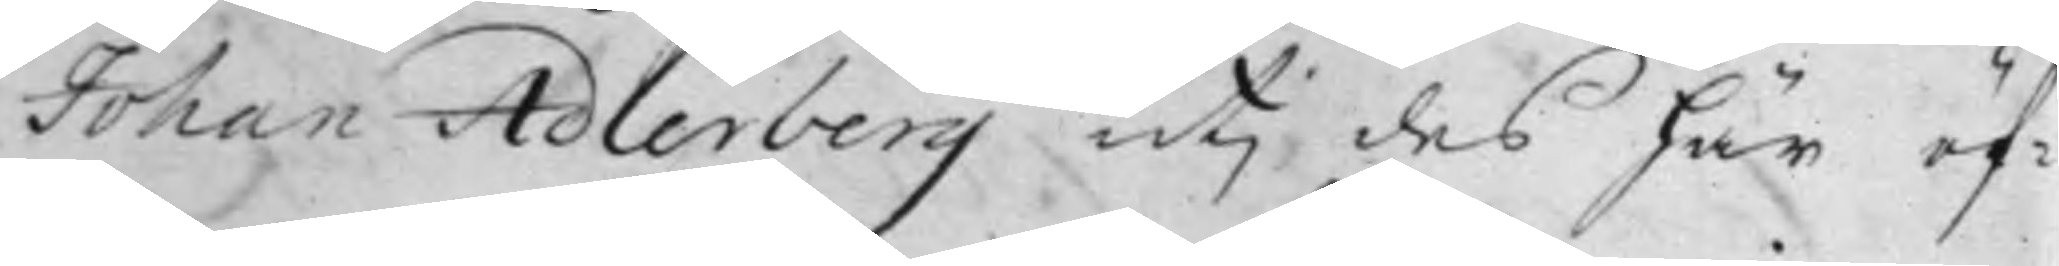Johan Adlerberg utj des här öf¬
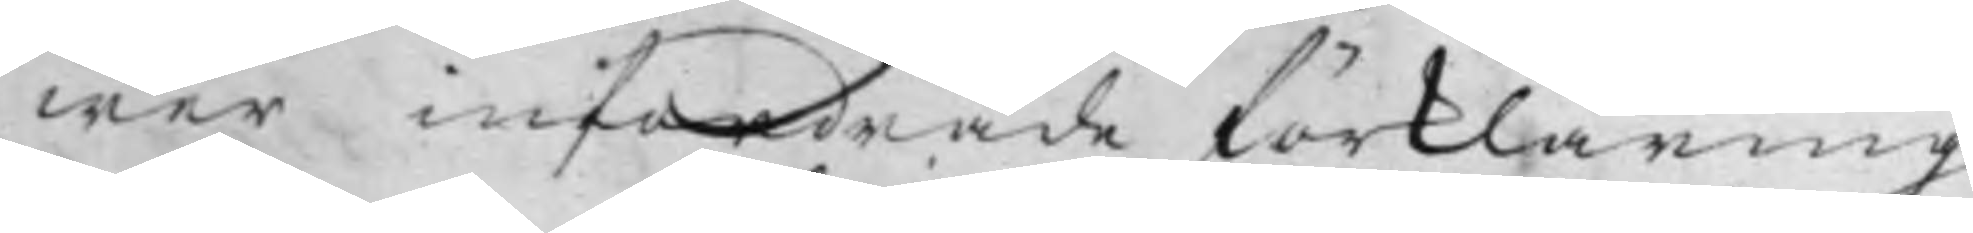wer infordrade förklaring
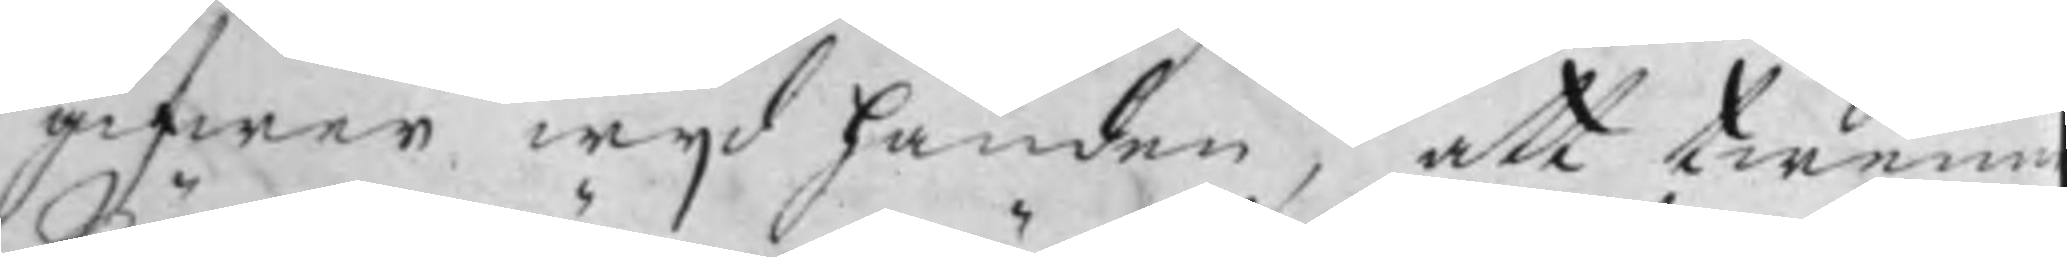gifwer wijd handen, att twenne
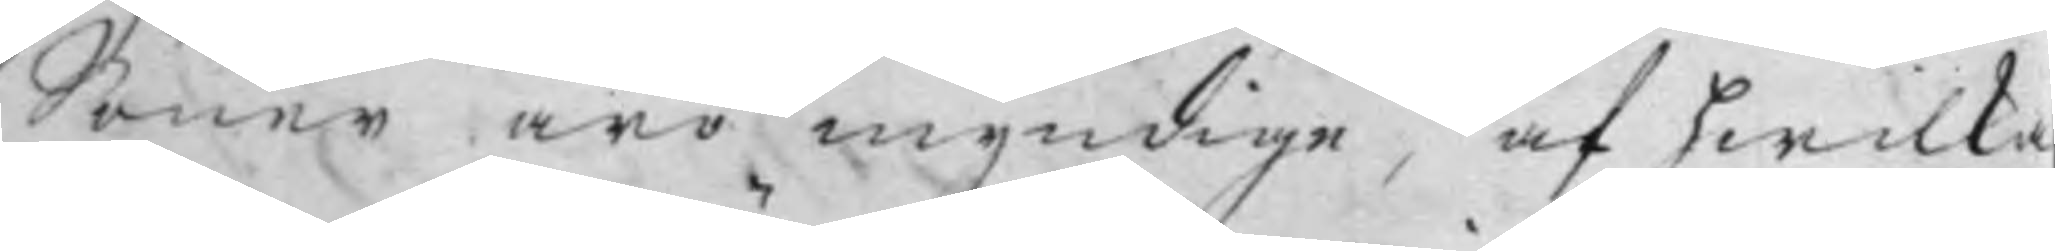Söner äro myndige, af hwilka
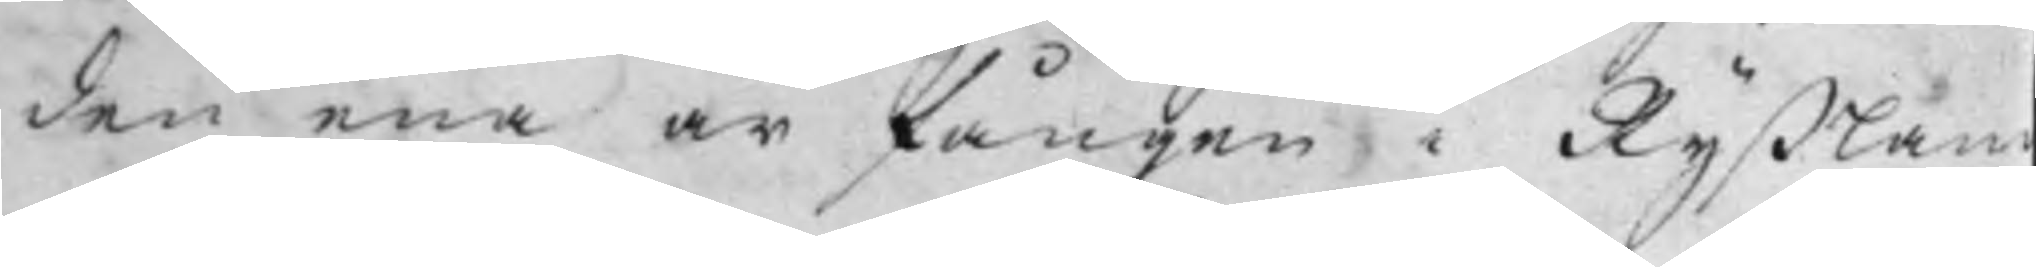den ena är fången i Ryßlan
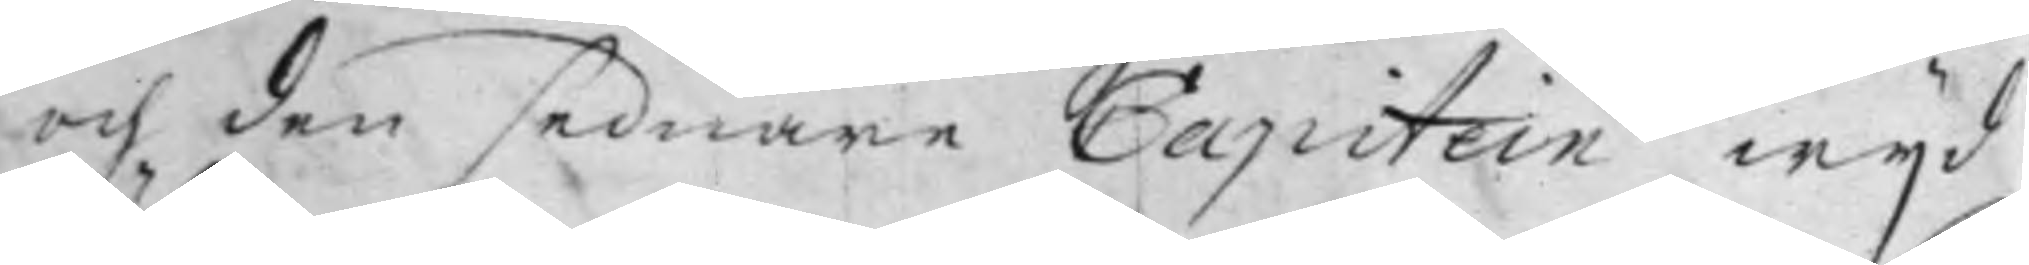och den sednare Capitein wijd
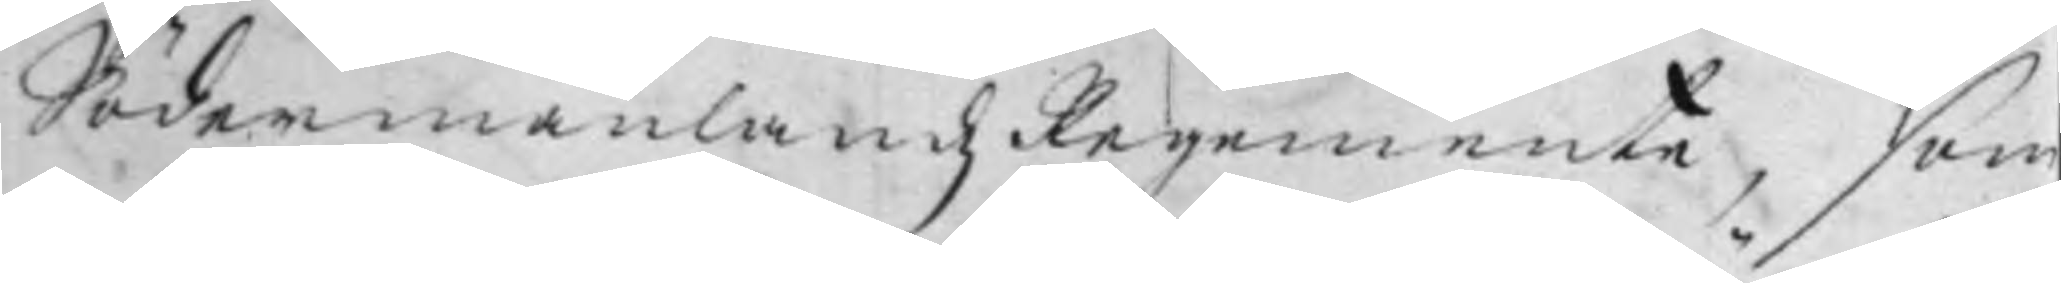Södermanlandz Regemente, som
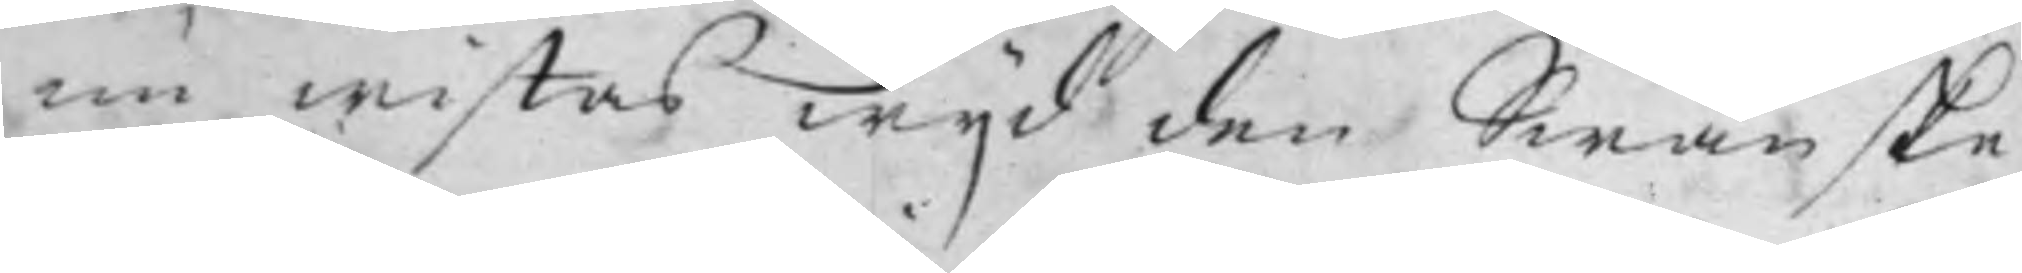nu wistas wijd den Swänske
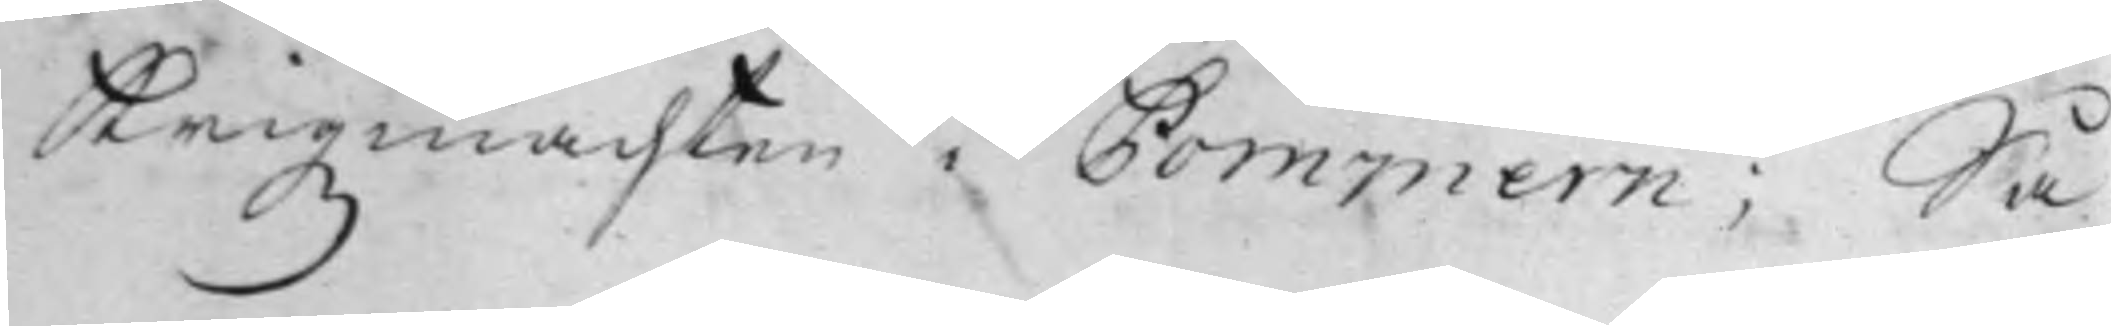Krigzmachten i Pommern; Så
